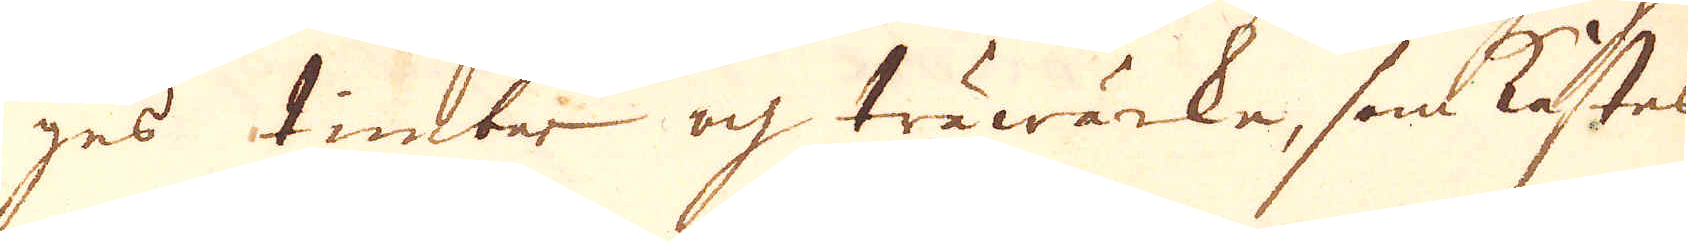ges timber och träwärke, som kastes
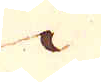i
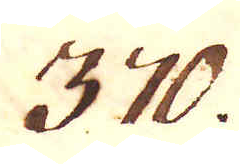370.
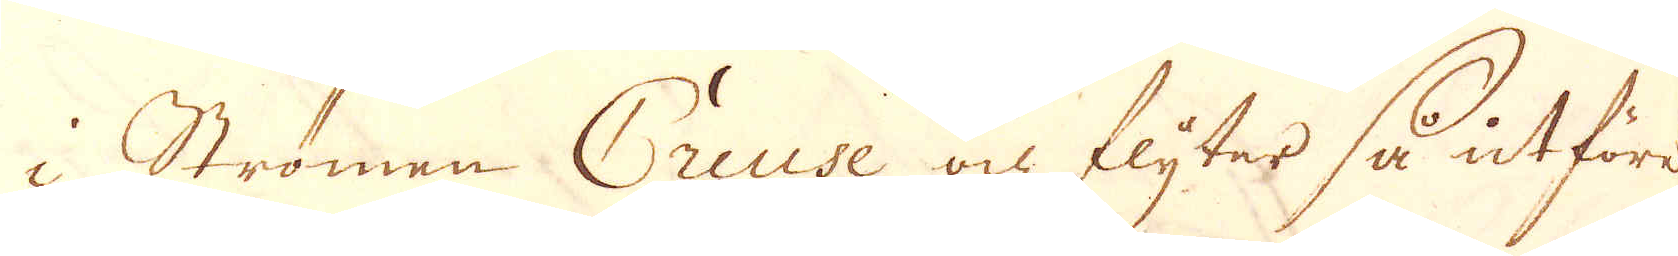i Strömen Creuse och flyter så utföre
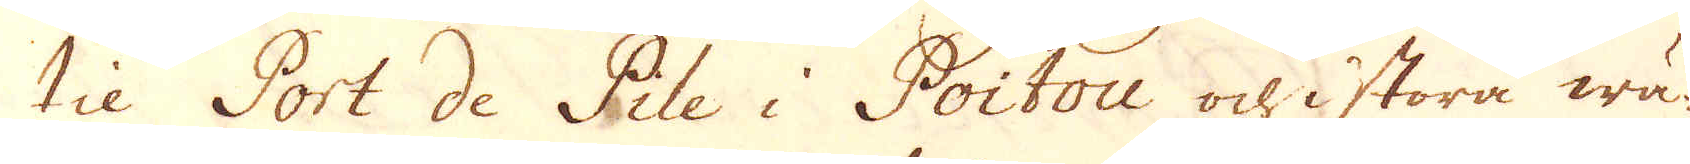til Port de Pile i Poitou och i stora wä-
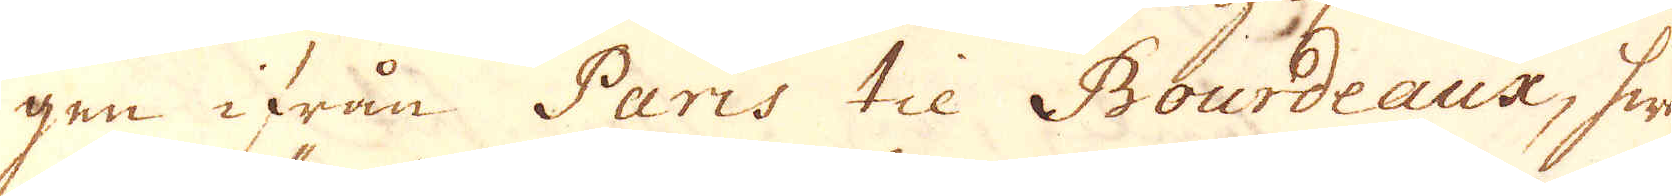gen ifrån Paris til Bourdeaux, hwar-
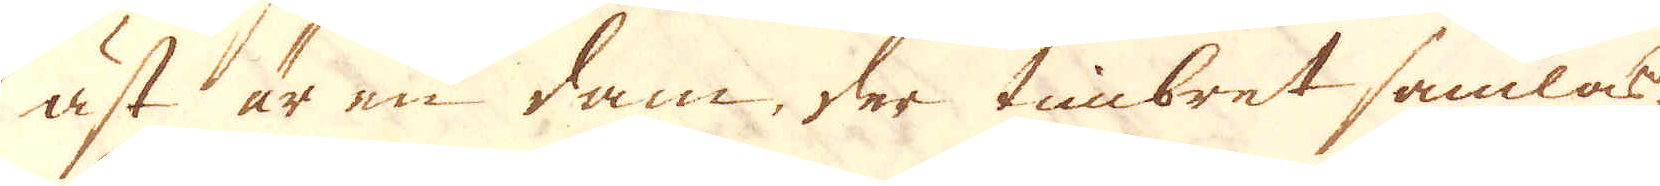äst är en dam, der timbret samlas,
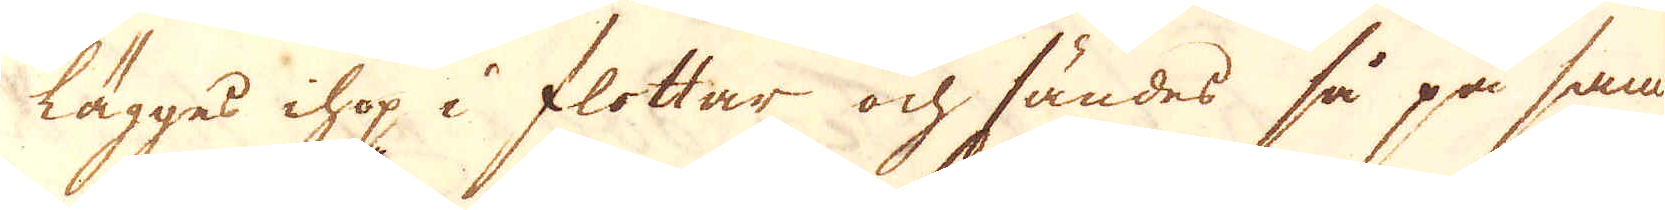lägges ihop i flottar och sändes så på sam-
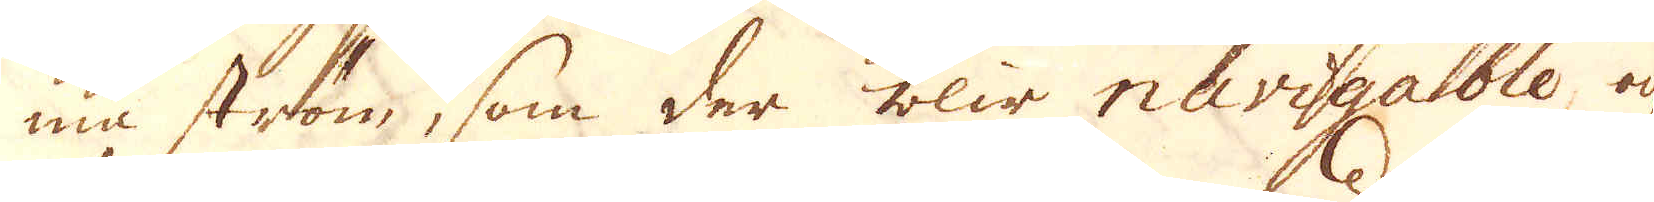ma ström, som der blir navigable, och
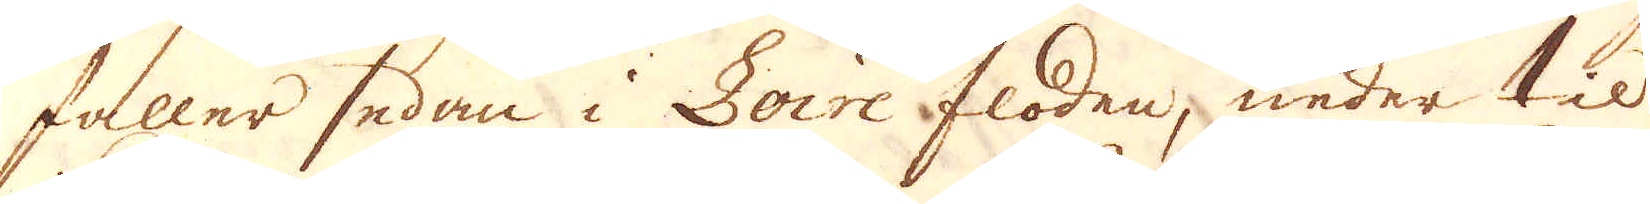faller sedan i Loire floden, neder til
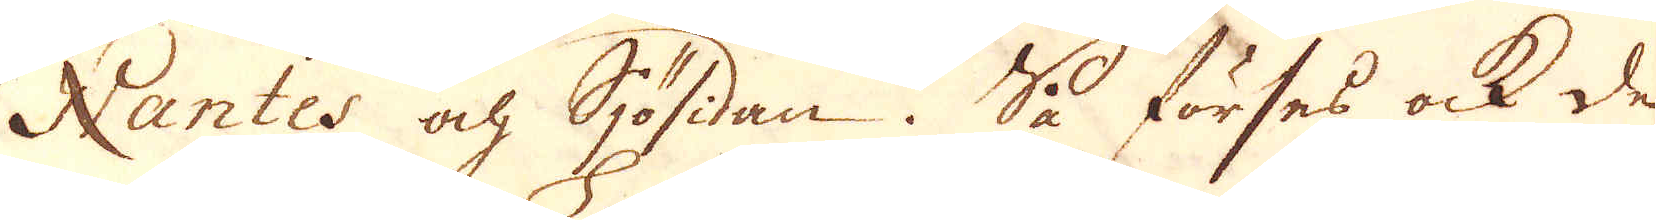Nantes och Sjösidan. Så förses ock de
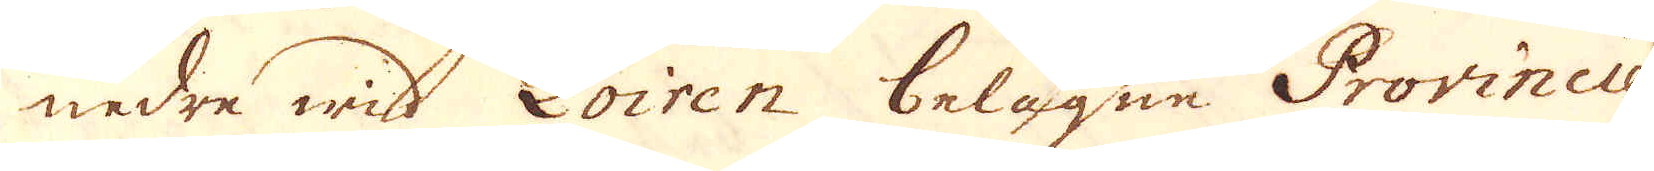nedre wid Loiren belägne Provincier
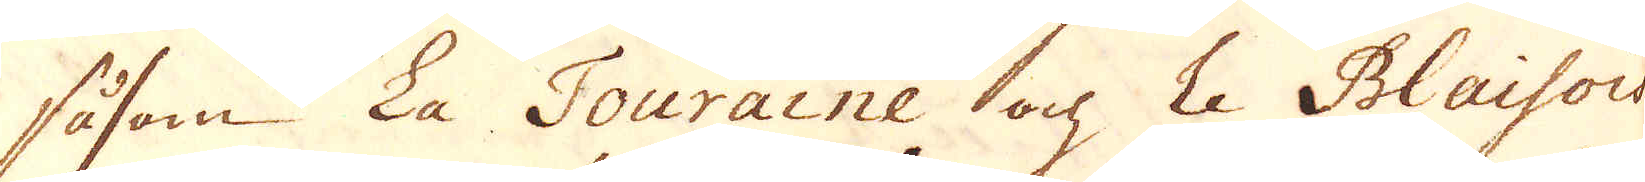såsom La Touraine och Le Blaisois
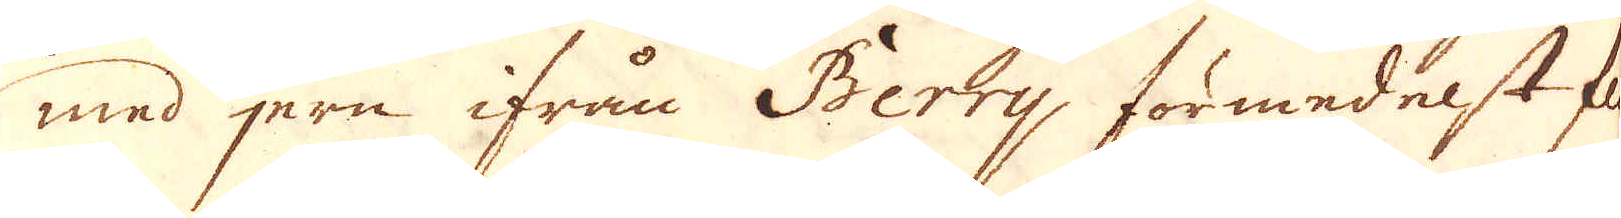med jern ifrån Berry, förmedelst flo-
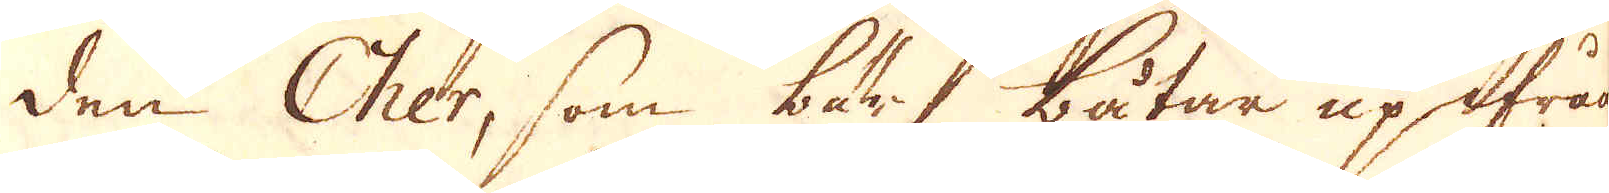den Cher, som bär båtar upifrån
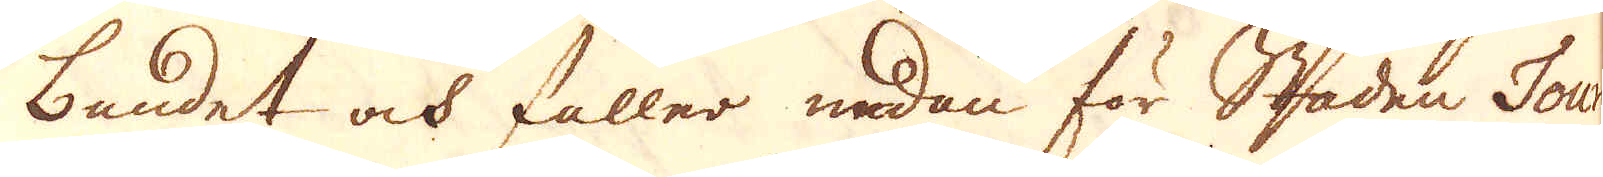Lundet och faller nedan för Staden Tours
